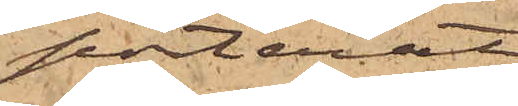porterat
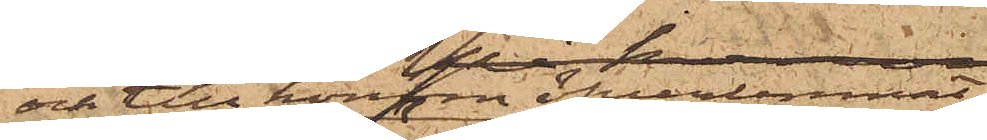och till honom öfverlemnat
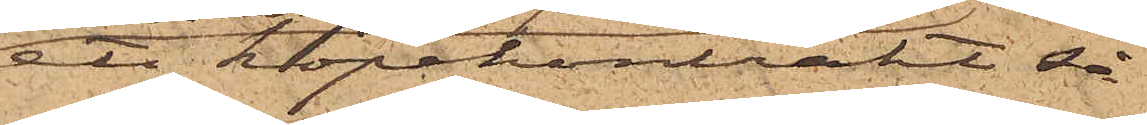ett köpekontrakt så
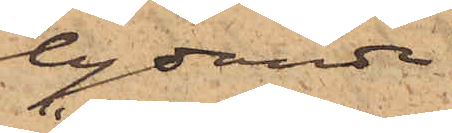lydande
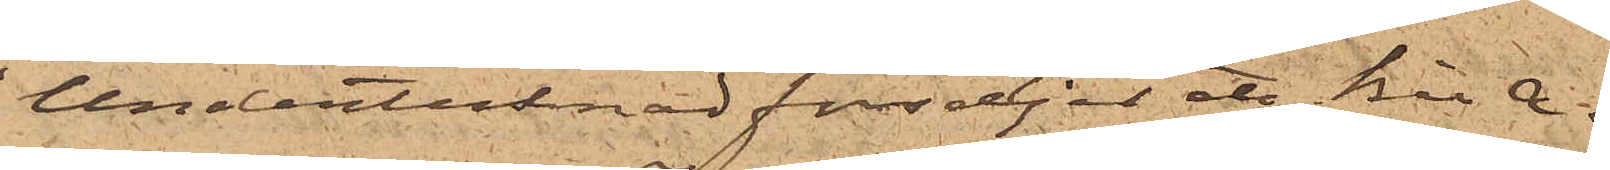"Undertecknad försäljer etc Bil A.
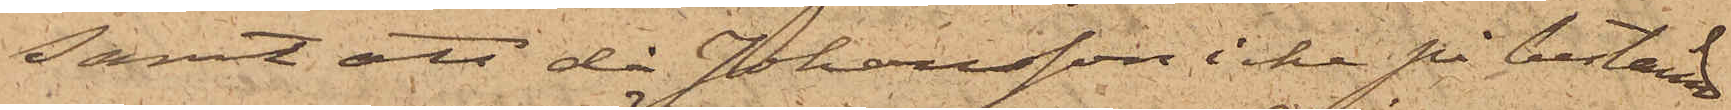Samt att då Johansson icke på bestämd
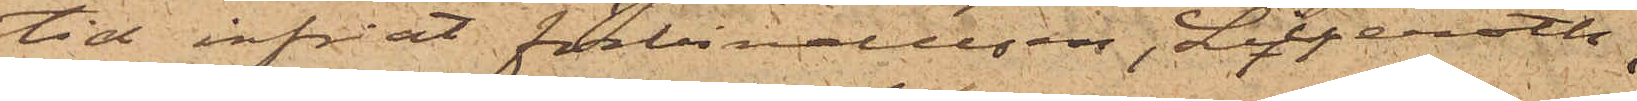tid infriat förbindelsen, Liljeroth
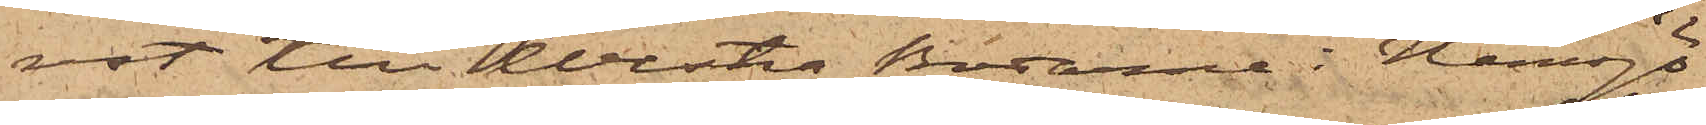rest till Westra Bodarne i Hemsjö
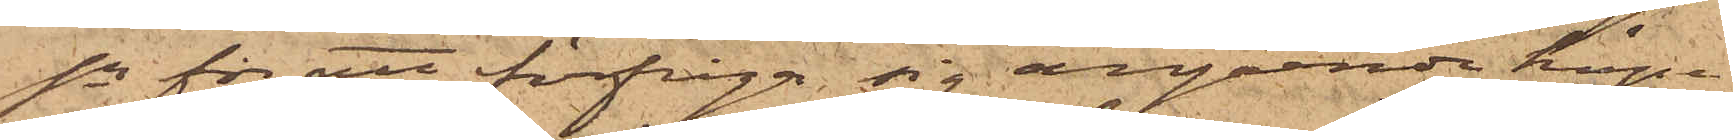Sn för att förfråga sig angående köpe¬
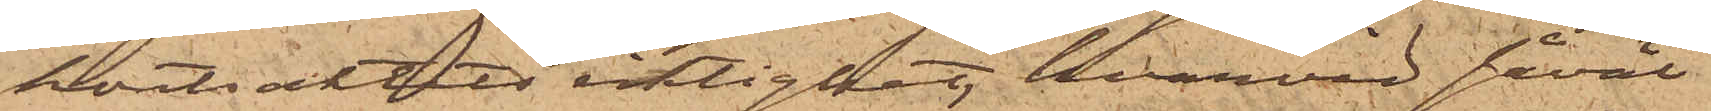kontraktets riktighet, hvarvid såväl
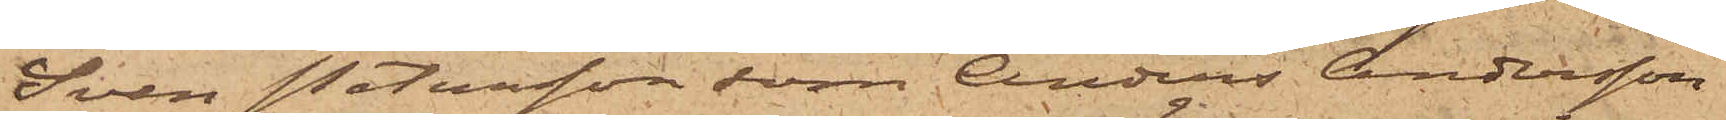Sven Petersson som Anders Andersson
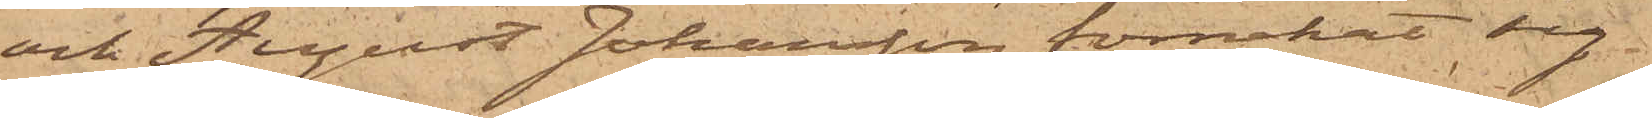och August Johansson förnekat sig
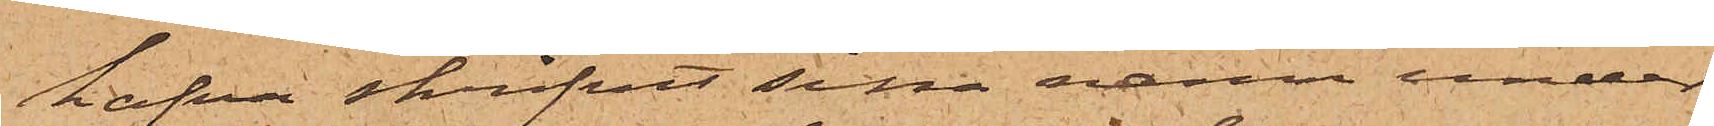hafva skrifvit sina namn under
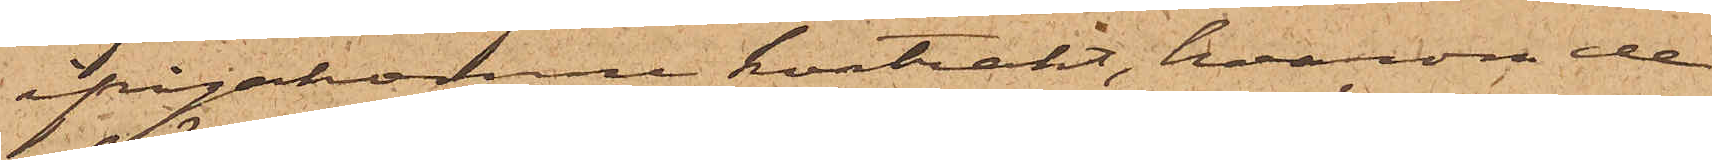ifrågakomne kontrakt, hvarom de
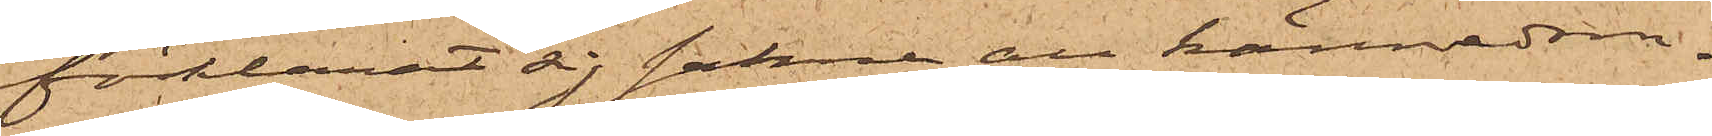förklarat sig sakna all kännedom.
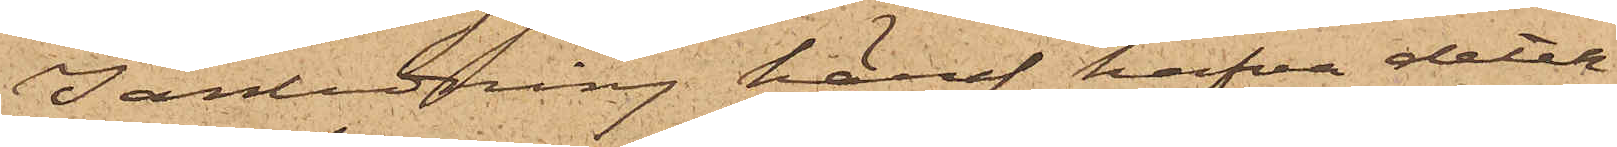I anledning häraf hafva detek¬
